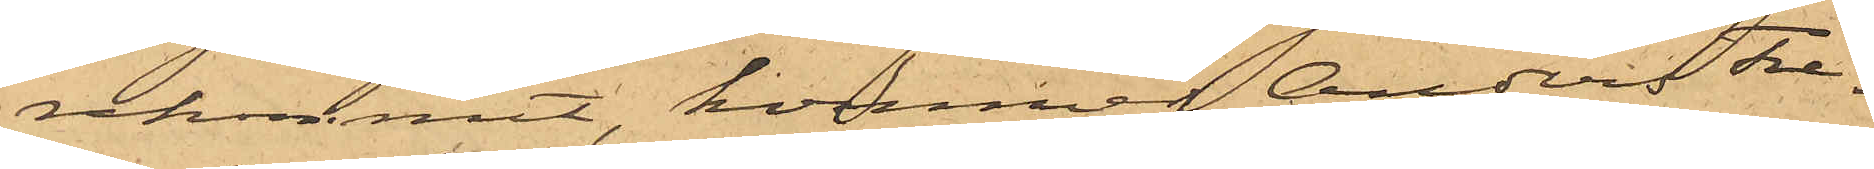rekommit, kommer Anders Fre¬
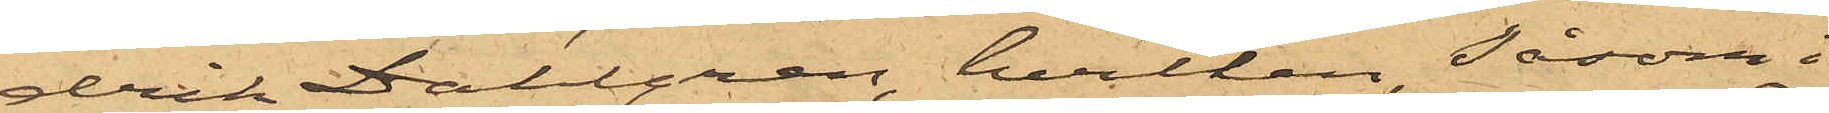drik Dahlgren, hvilken, såsom i
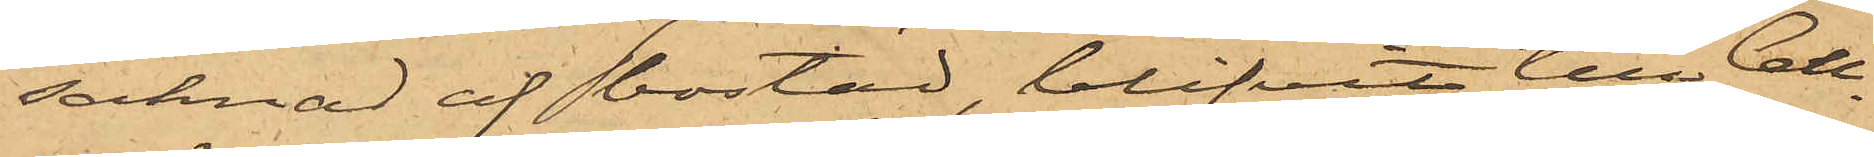saknad af bostad, blifvit till Cell¬
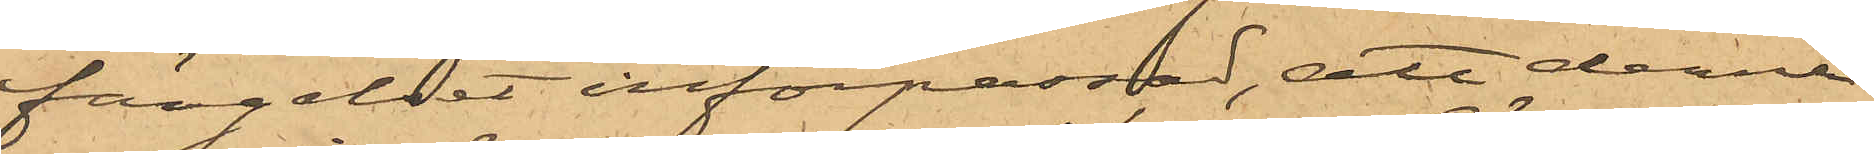fängelset införpassad, att denna
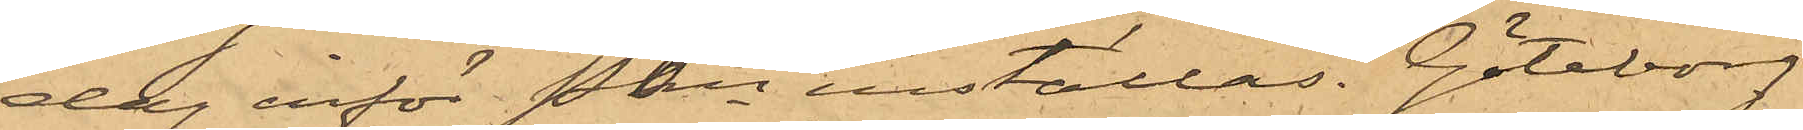dag inför Pkn inställas. Göteborg
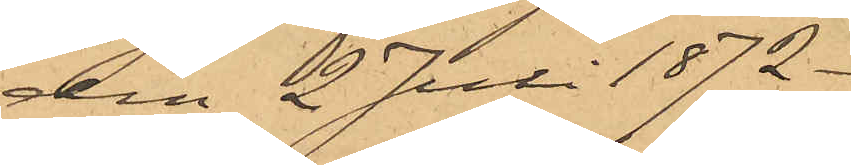den 2 Juli 1872.
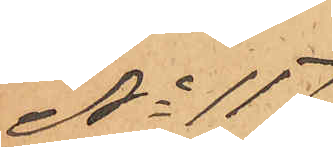No 117
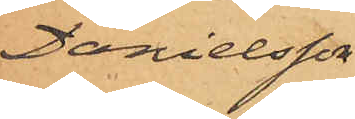Danielsson.
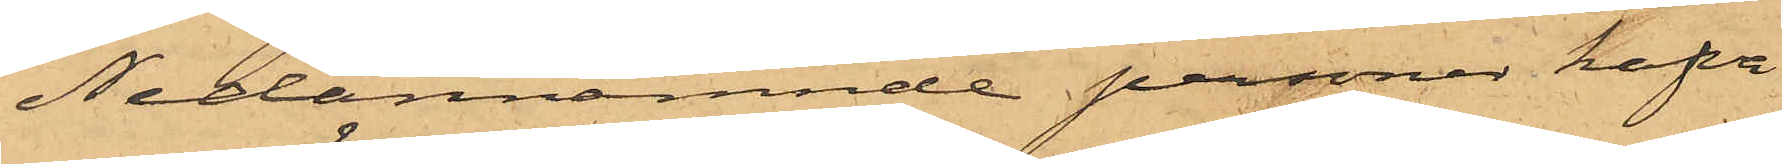Nedannämnde personer hafva
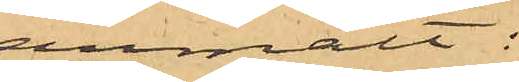anmält:
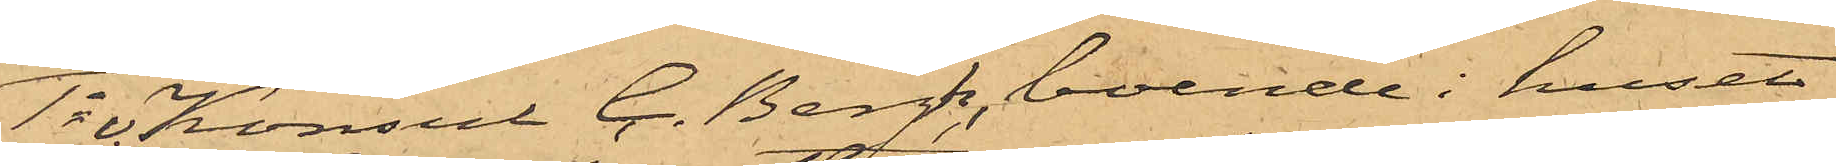1o v. Konsul C. Bergh, boende i huset
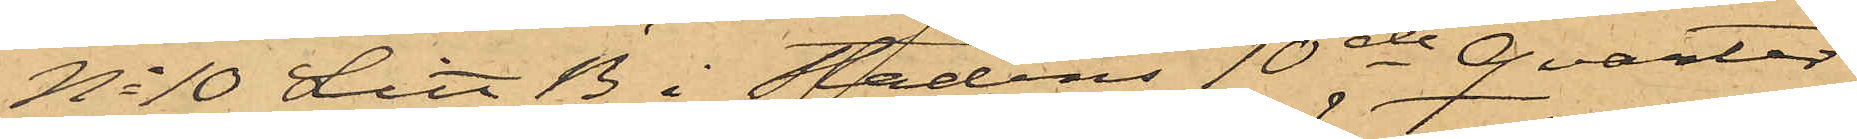No 10 Litt B i Stadens 10de Qvarter,
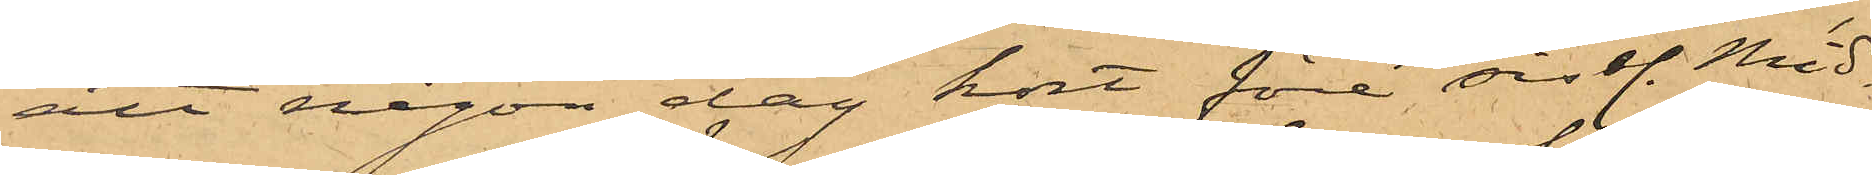att någon dag kort före sistl. Mid¬
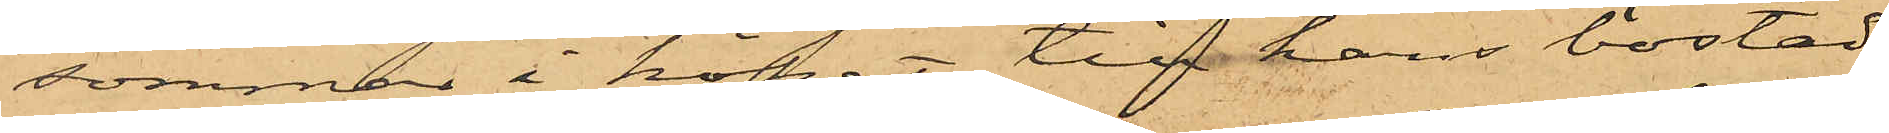sommar i köket till hans bostad
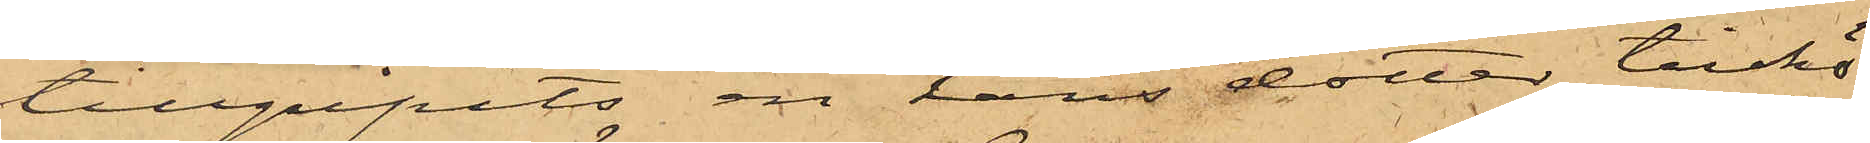tillgripits en hans dotter tillhö¬
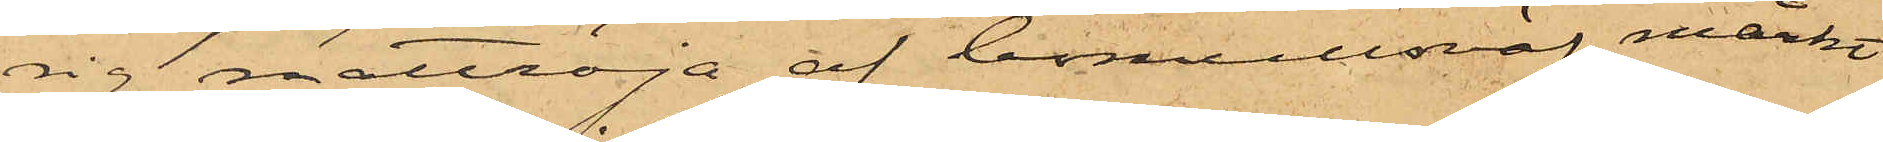rig nattröja af bomullsväf, märkt
